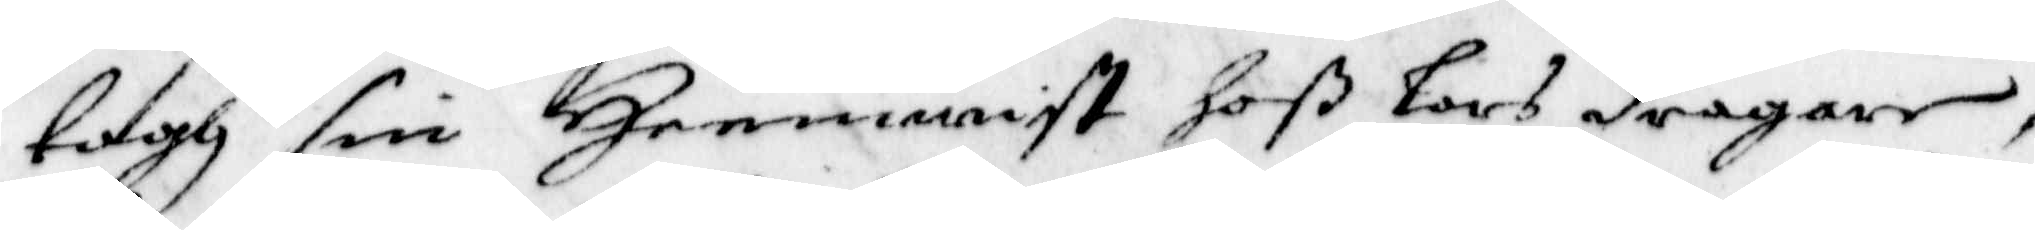togh sin Heemwist hoß Lars dragare,
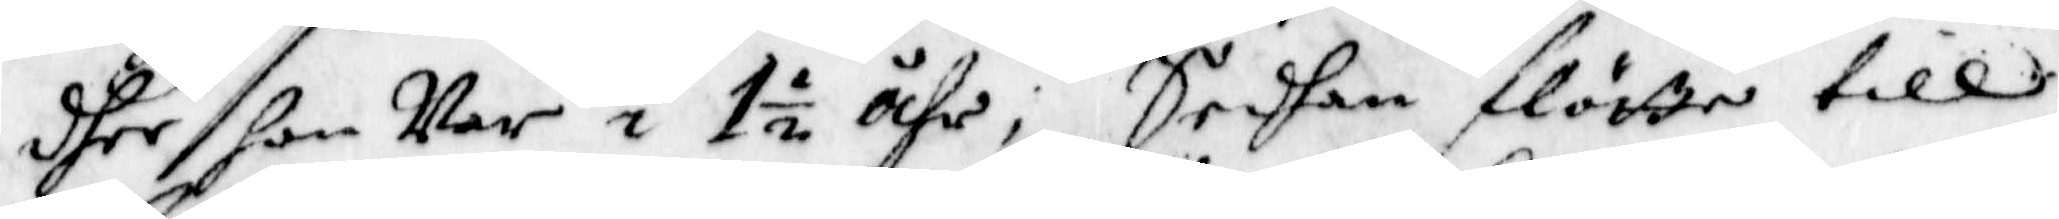dher hon Var i 1½ åhr; Sedan flötte till
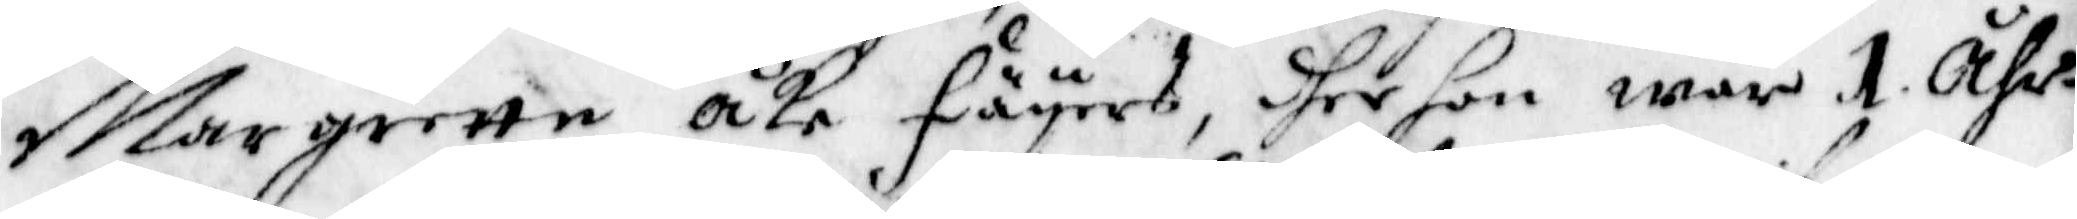Margrette åke Fäyers, dher hon war 1 åhr
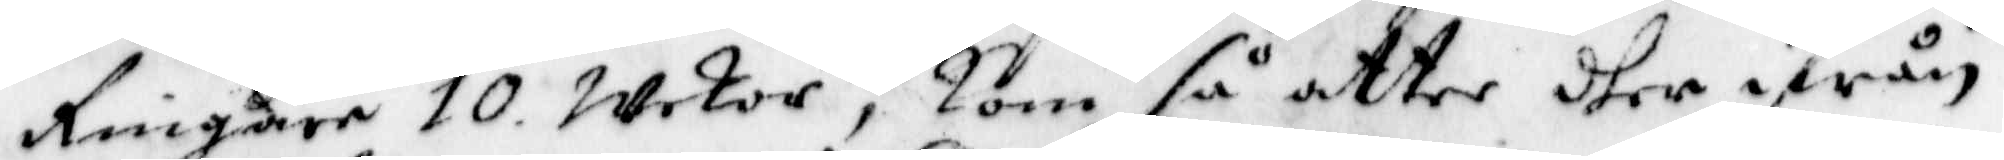Ringare 10 wekor; kom så atter dher ifrån
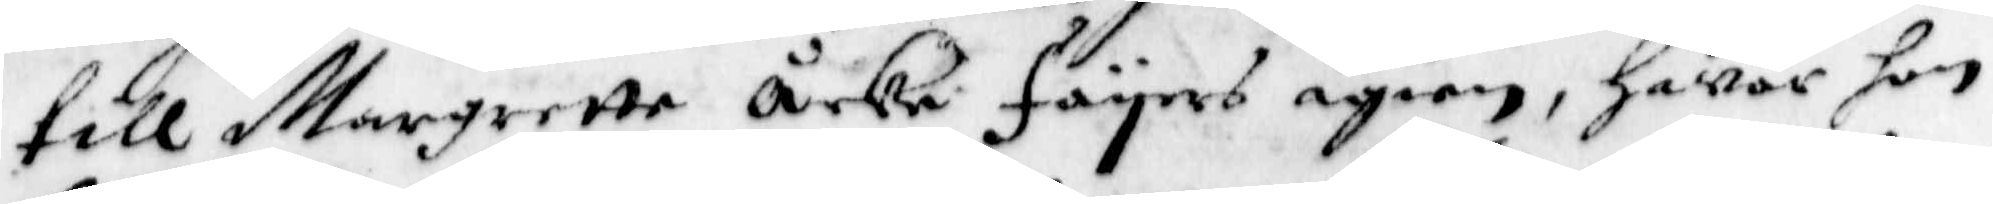till Margrette åcke Fäyers igien, Hwar hon
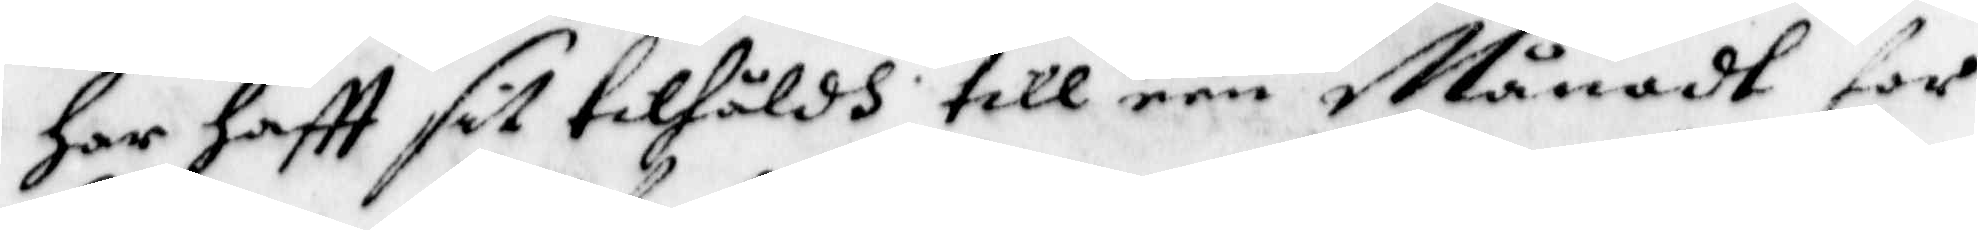Har Haftt sit tillhåldh till een Månadt for
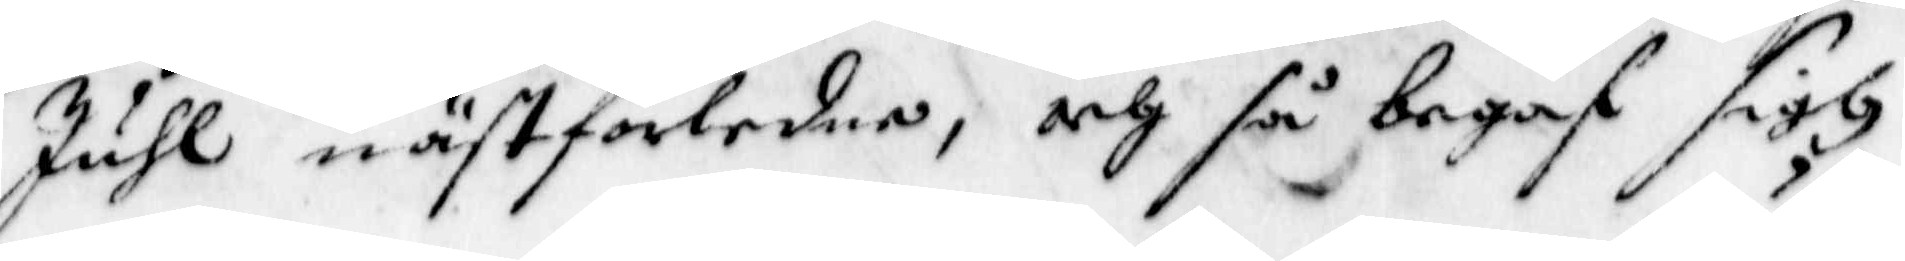Juhl nästforledne, och så begaf sigh
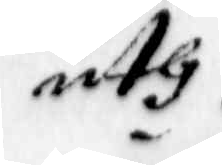uth
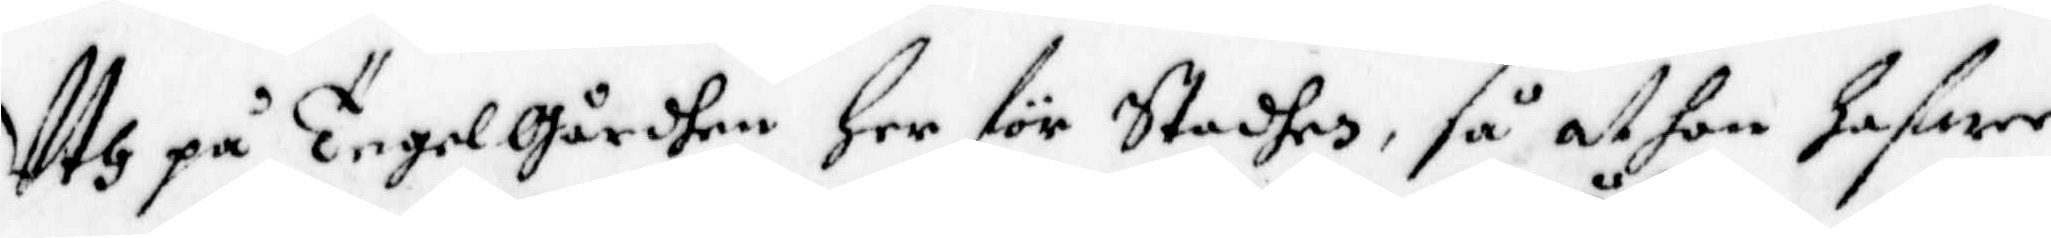Uth på Tegelgårdhen her för Staden, så at hon hafwer
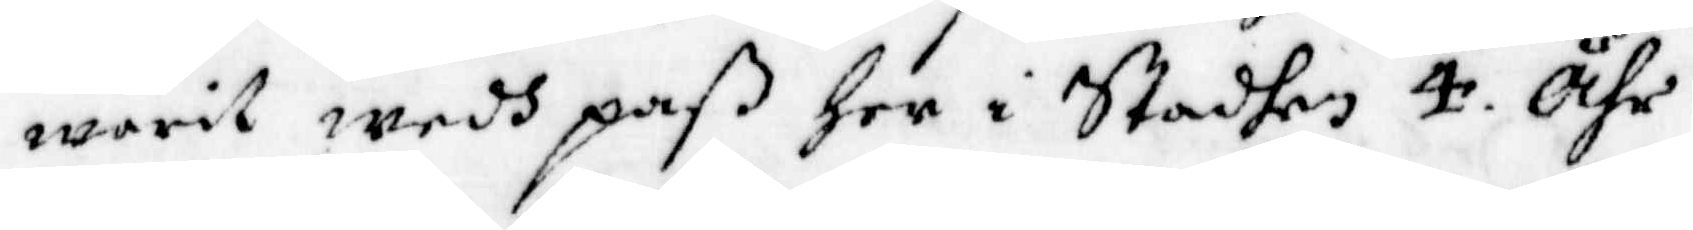warit wedh paß her i Staden 4. Åhr.
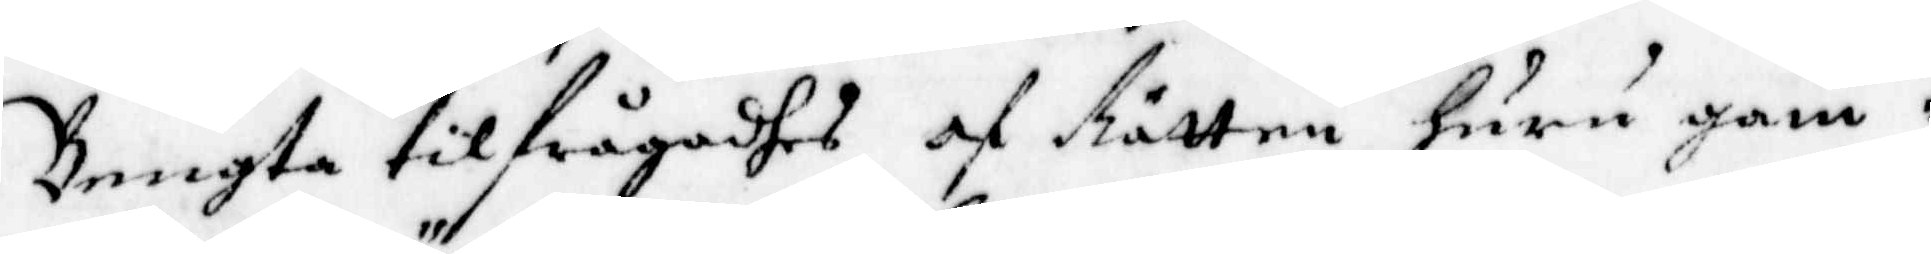Bengta tilfrågadhes af Rätten huru gam¬
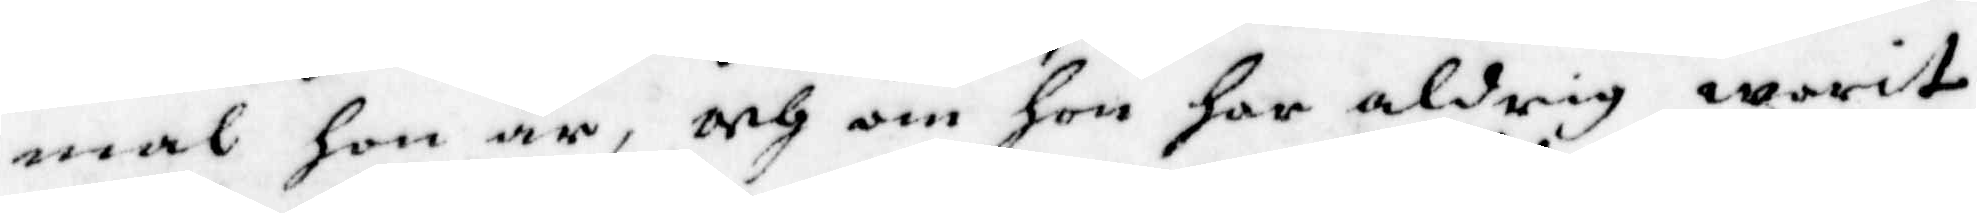mal hon är, och om hon har aldrig warit
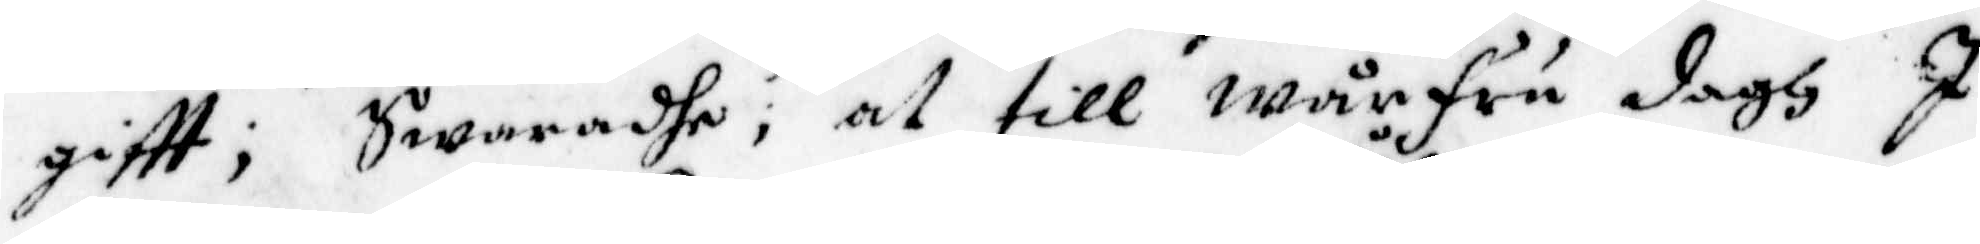giftt; Swaradhe; at till wårfru dagh I
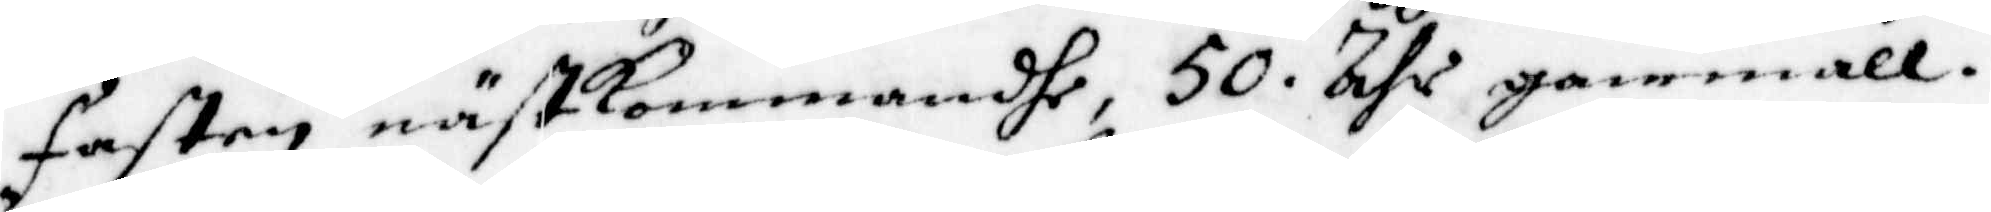Fasten nästkommandhe, 50 åhr gammall.
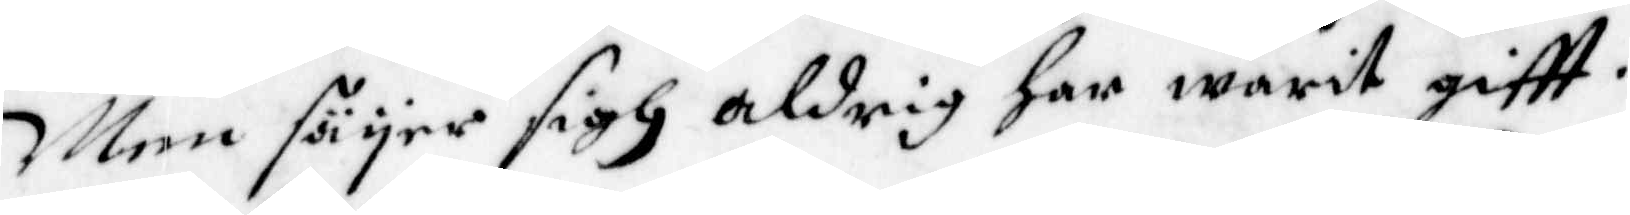Men säyer sigh aldrig har warit giftt.
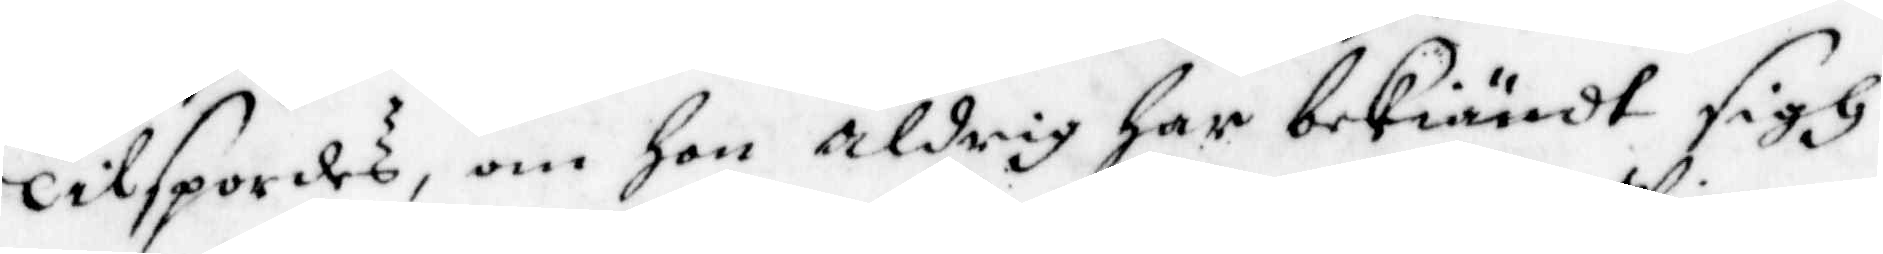Tilspordes, om Hon aldrig har bekiändt sigh
